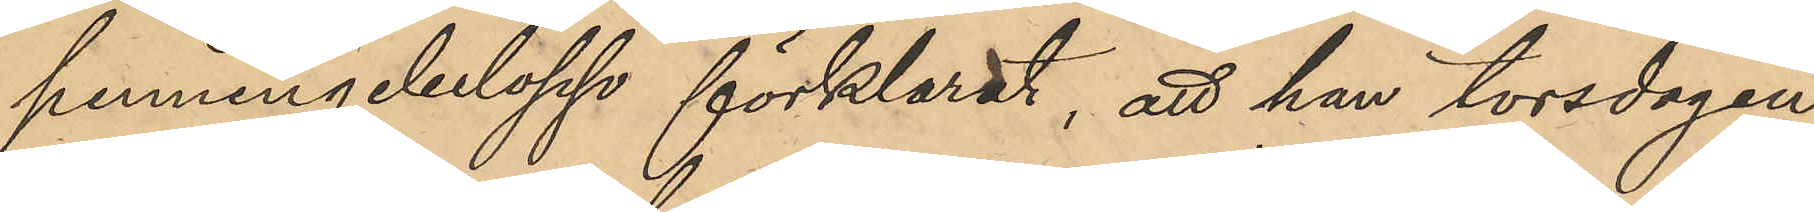penningebelopp förklarat, att han torsdagen
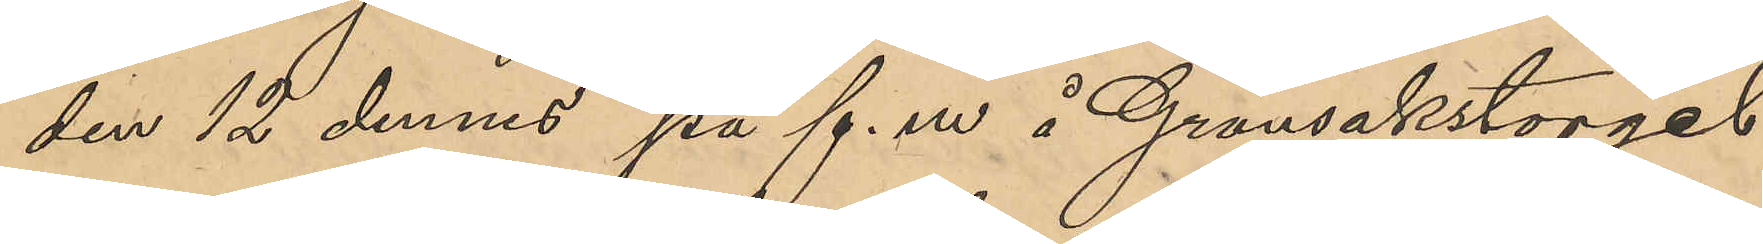den 12 dennes på f. m å Grönsakstorget
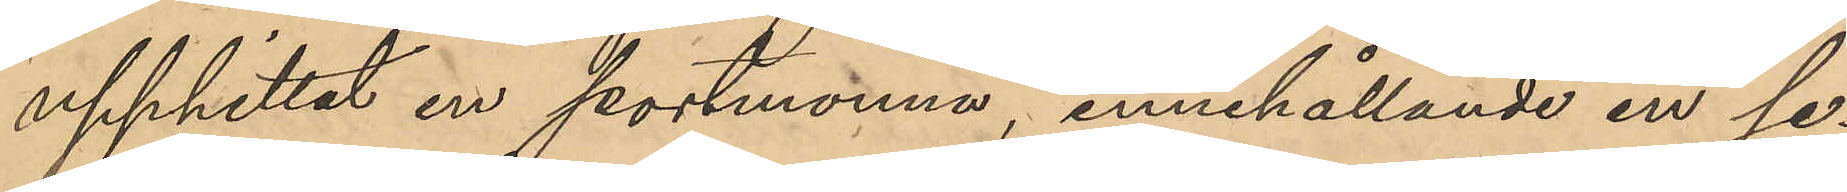upphittat en portmonnä, innehållande en se¬
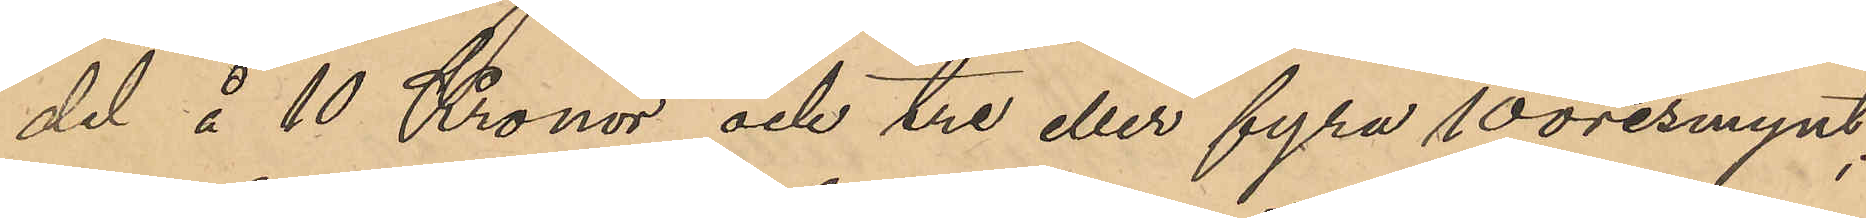del å 10 Kronor och tre eller fyra 10-öresmynt;
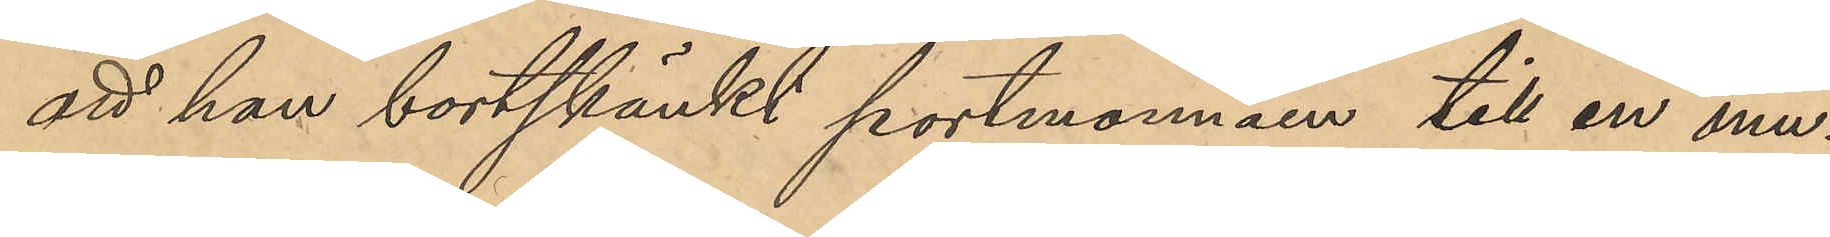att han bortskänkt portmonnäen till en mu¬
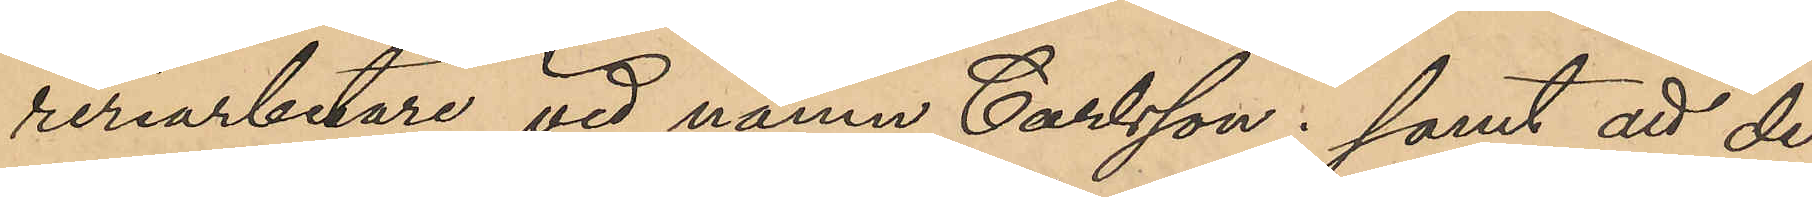reriarbetare vid namn Carlsson; samt att de
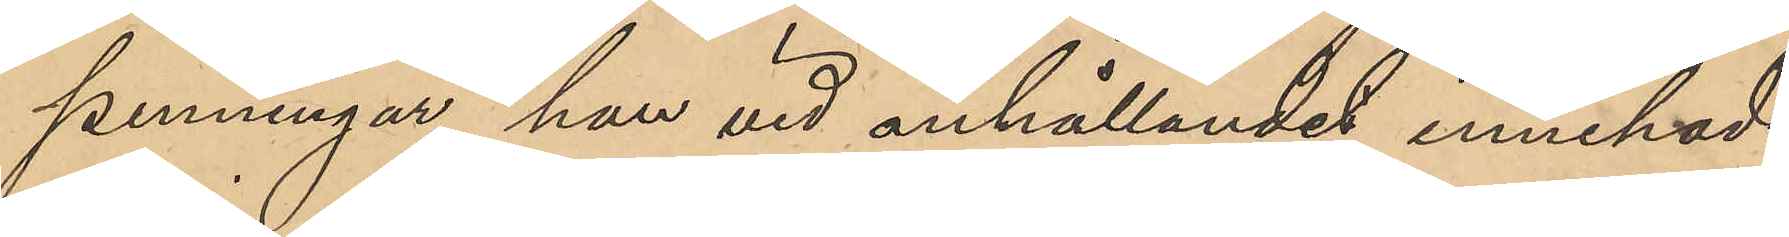penningar han vid anhållandet innehade
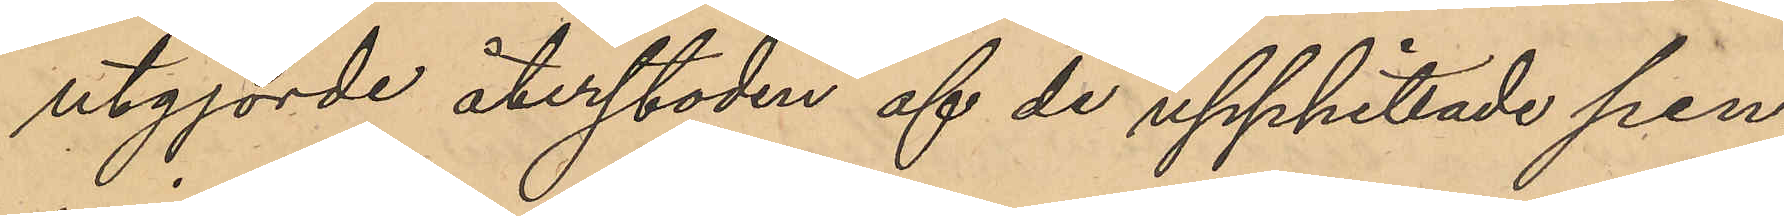utgjorde återstoden af de upphittade pen¬
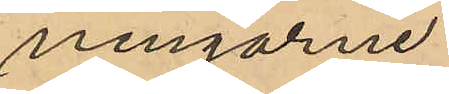ningarne.
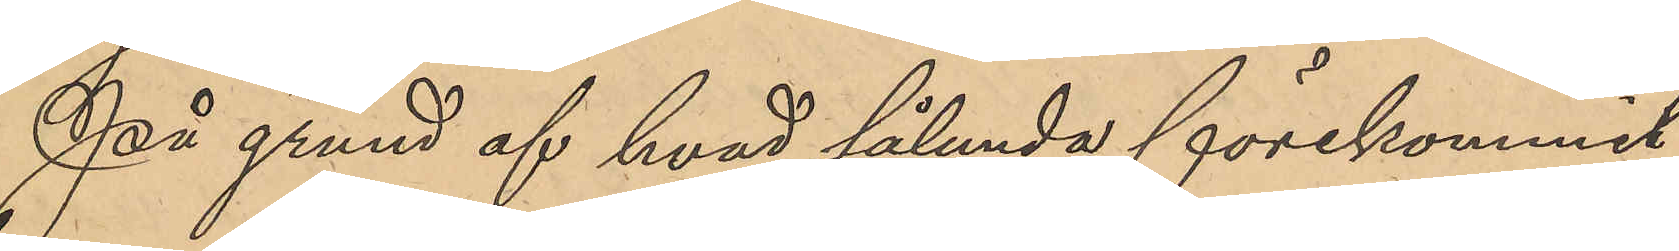På grund af hvad sålunda förekommit
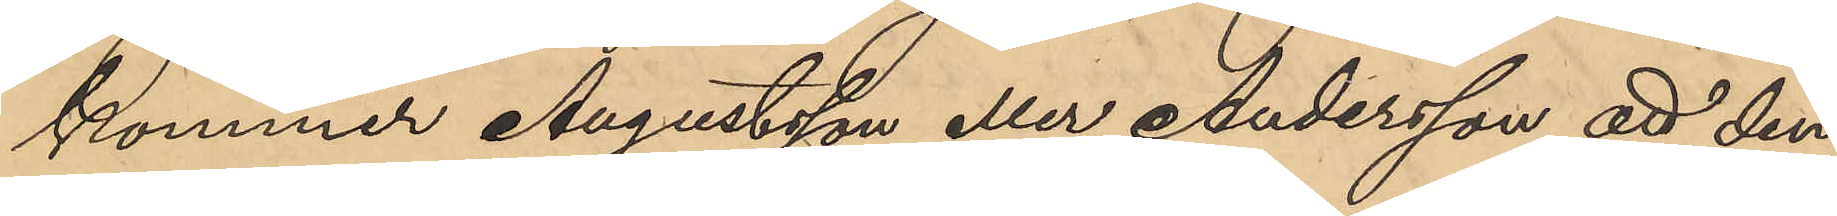kommer Augustsson eller Andersson att den¬
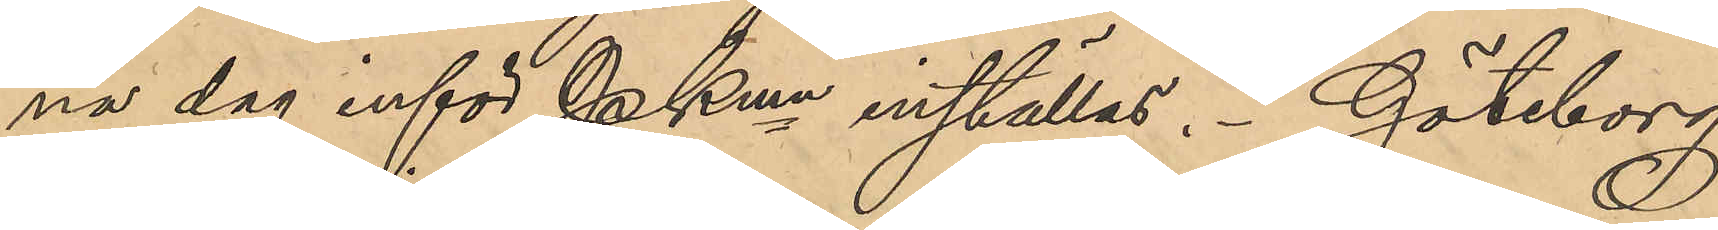na dag inför PKmn inställas. Göteborg
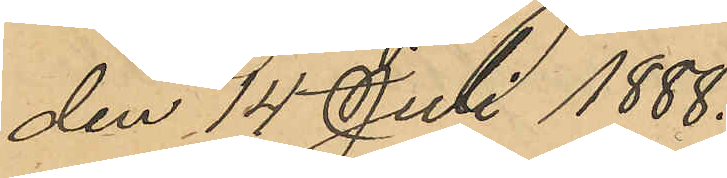den 14 Juli 1888.
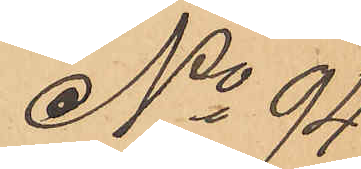No 94
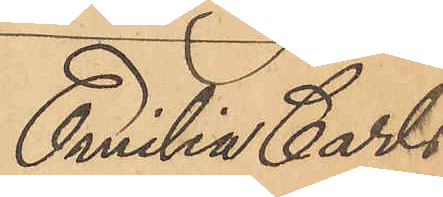Emilia Carls¬
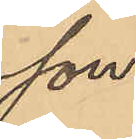son.
